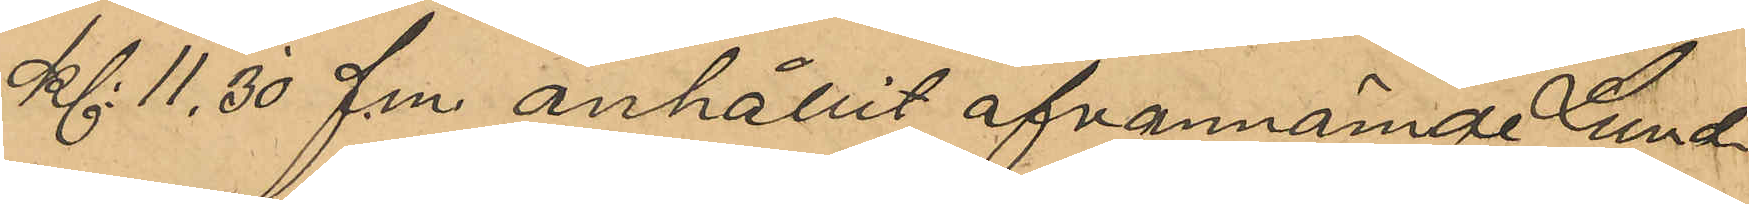Kl 11,30 f.m. anhållit ofvannämnde Lund¬
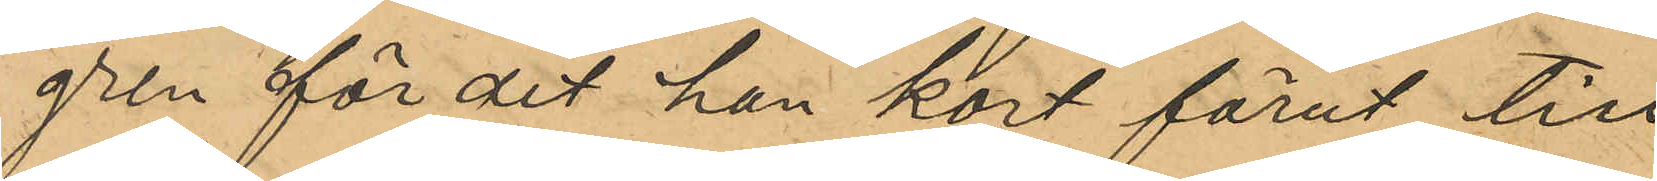gren för det han kort förut till
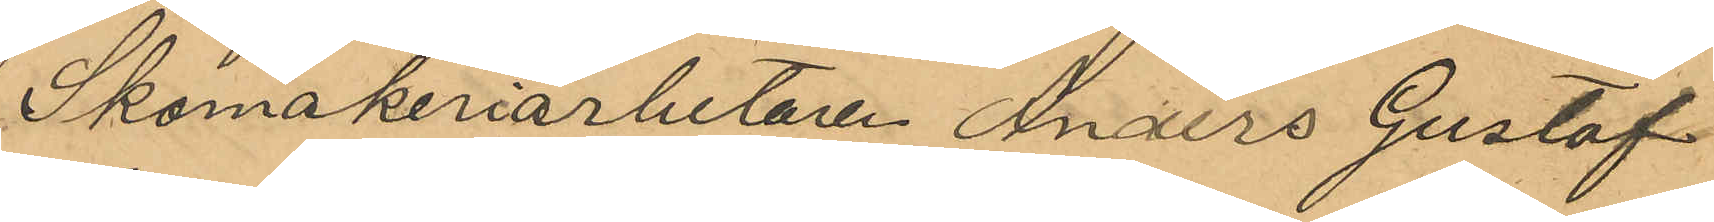Skomakeriarbetaren Anders Gustaf
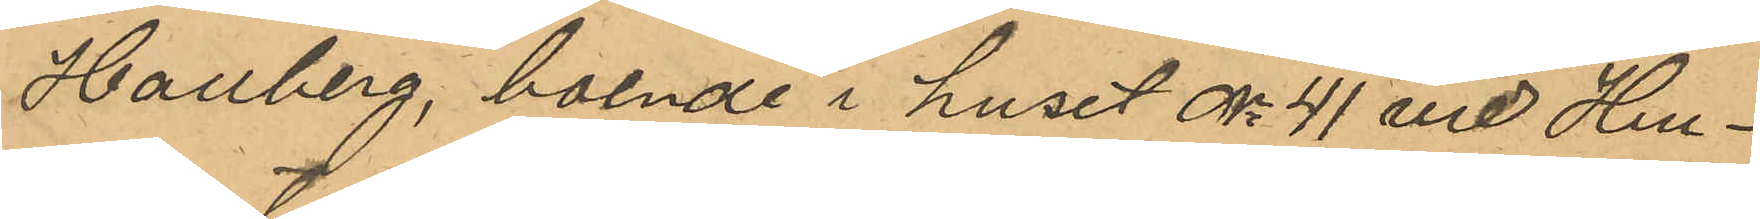Hallberg, boende i huset No 41 vid Hu¬
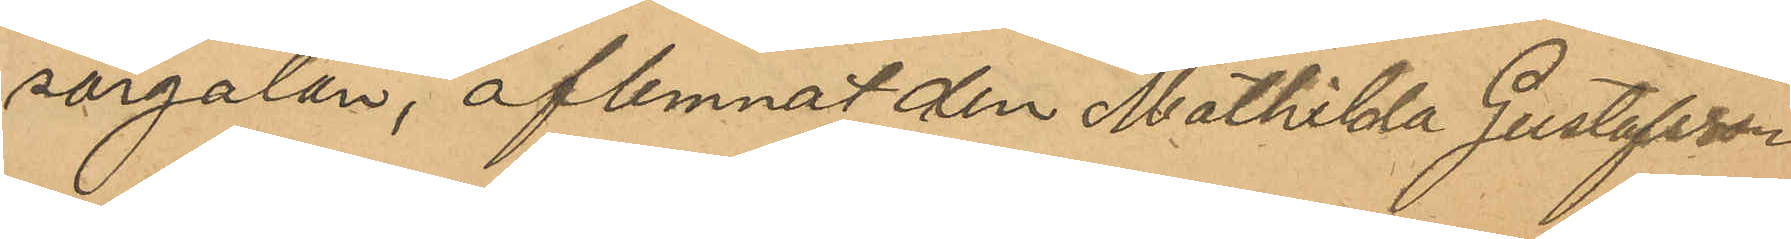sargatan, aflemnat den Mathilda Gustafsson
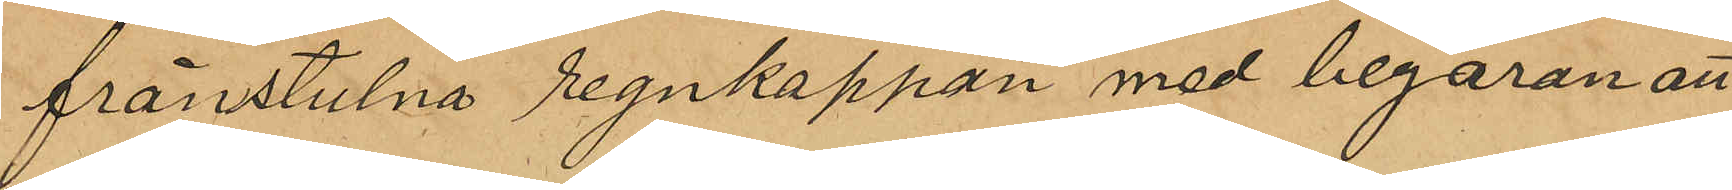frånstulna regnkappan med begaran att
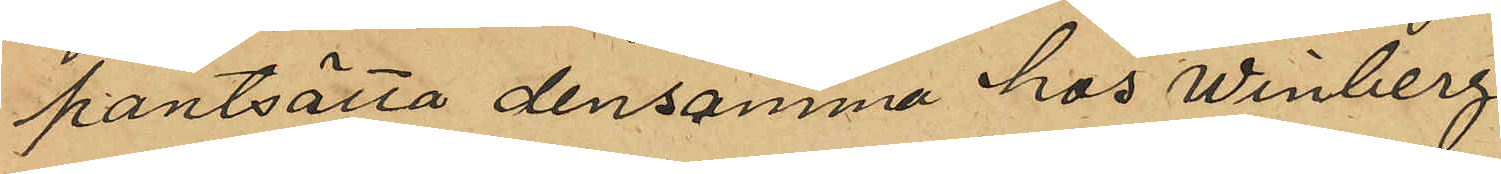pantsätta densamma hos Winberg.
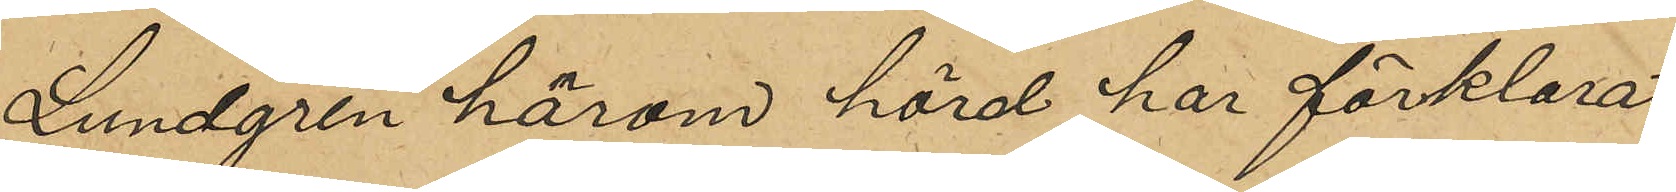Lundgren härom hörd har förklarat,
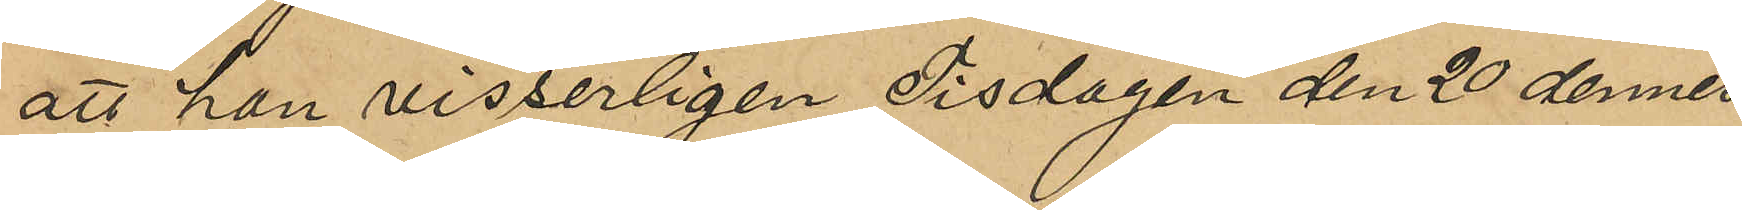att han visserligen Tisdagen den 20 dennes
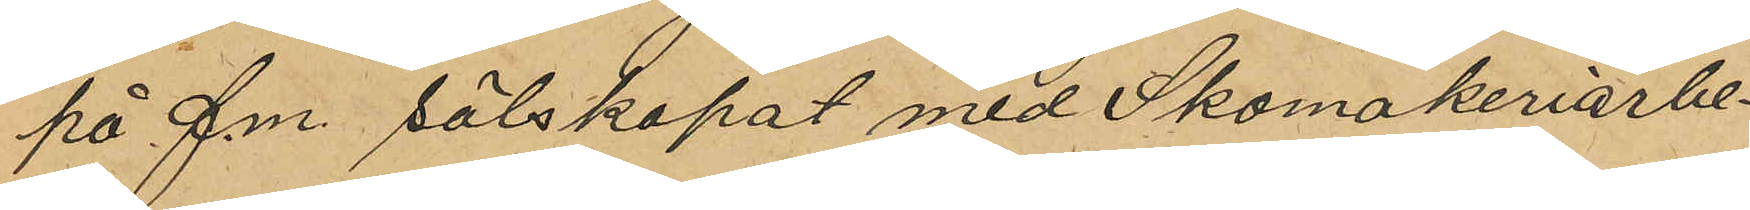på f.m. sälskapat med Skomakeriarbe¬
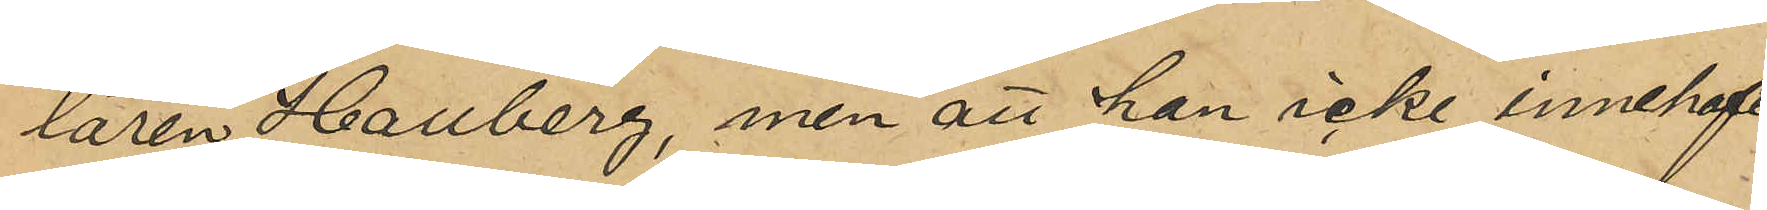taren Hallberg, men att han icke innehaft
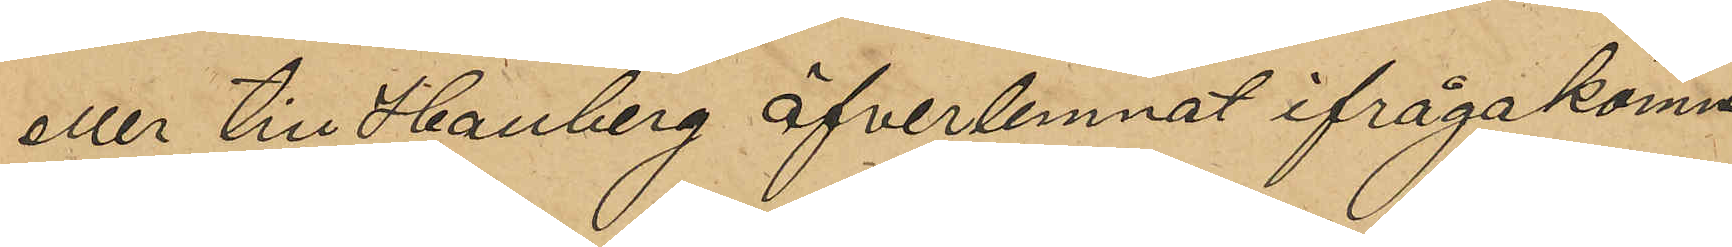eller till Hallberg öfverlemnat ifrågakomne
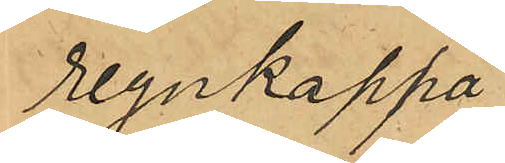regnkappa.
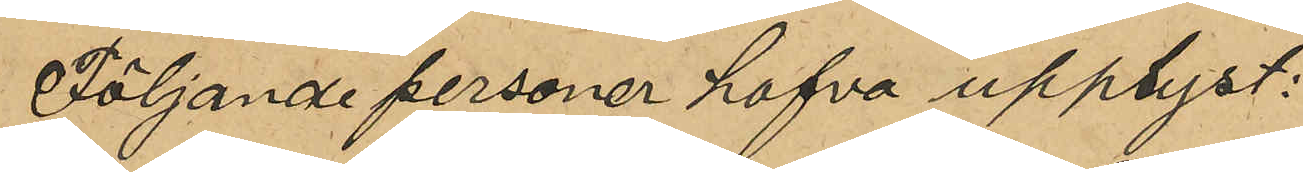Följande personer hafva upplyst:
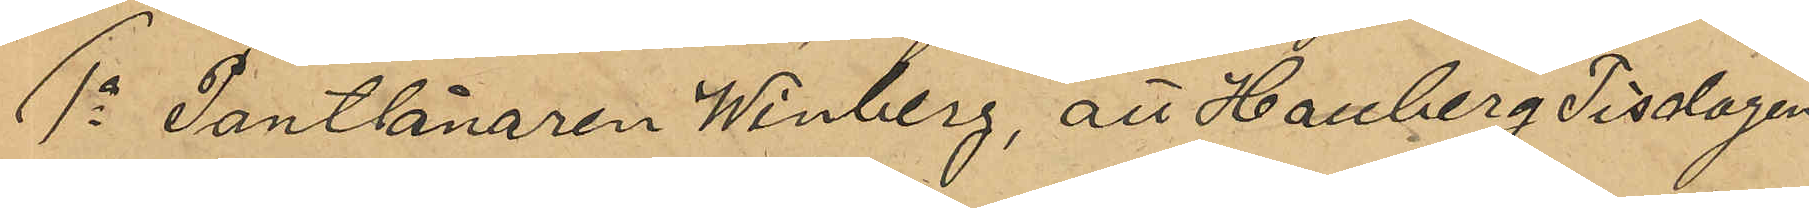1o Pantlånaren Winberg, att Hallberg Tisdagen
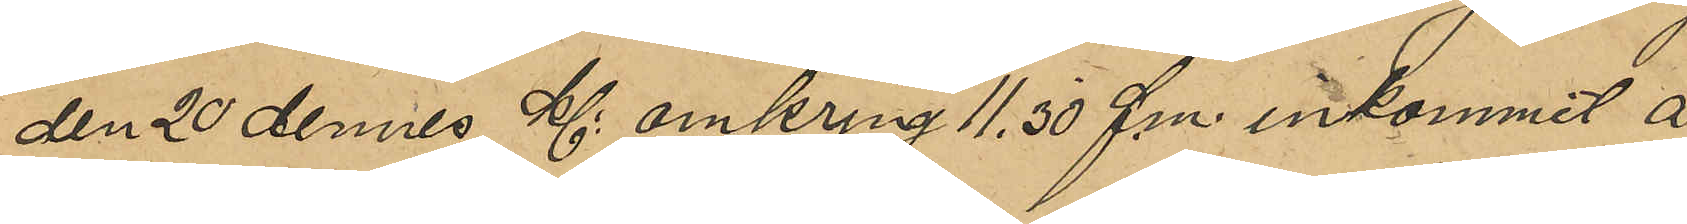den 20 dennes Kl omkring 11,30 f.m. inkommit å
